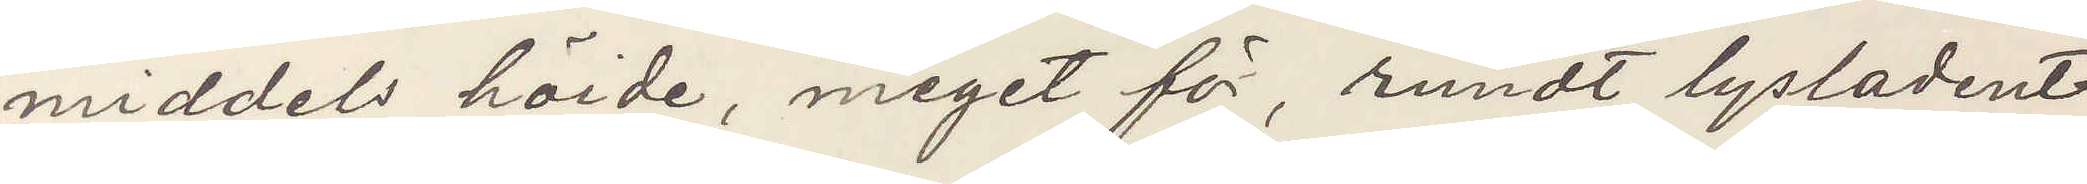middels höide, meget för, rundt lysladent
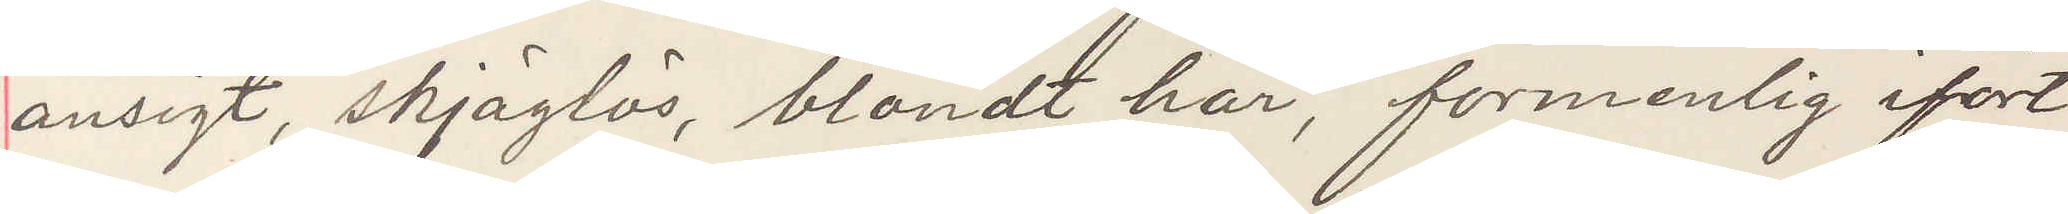ansigt, skjäglös, blondt har, formenlig ifört
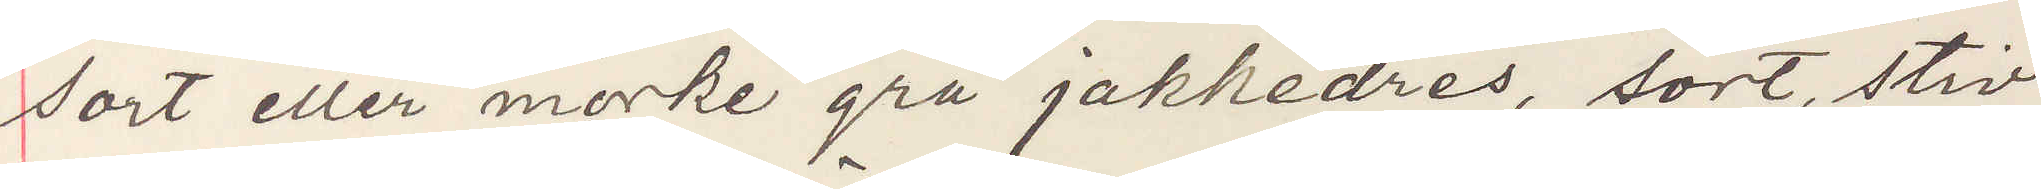sort eller mörke grå jakkedres, sort, stiv
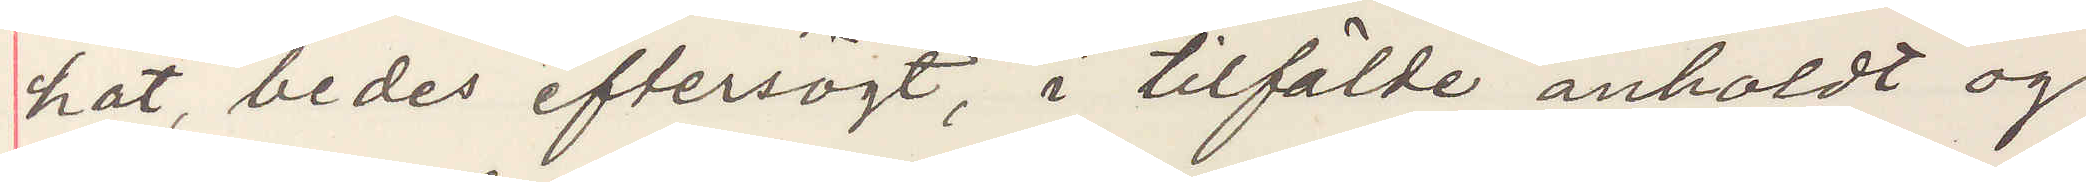hat, bedes eftersögt, i tilfälde anholdt og
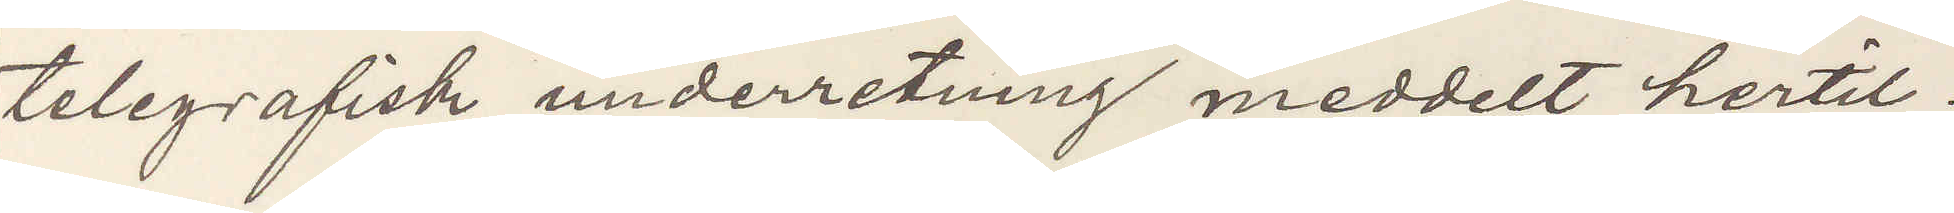telegrafisk underretning meddelt hertil.
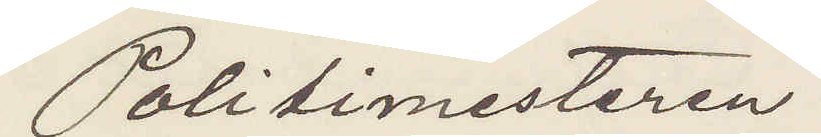Politimesteren.
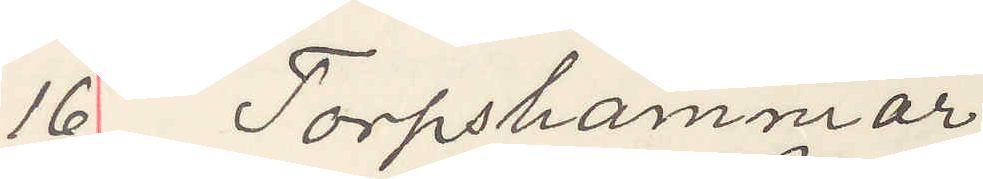16 Torpshammar
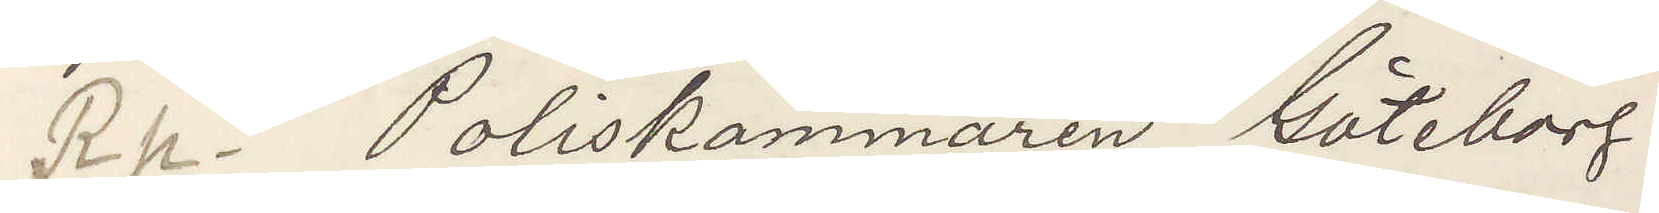Rp Poliskammaren Göteborg.
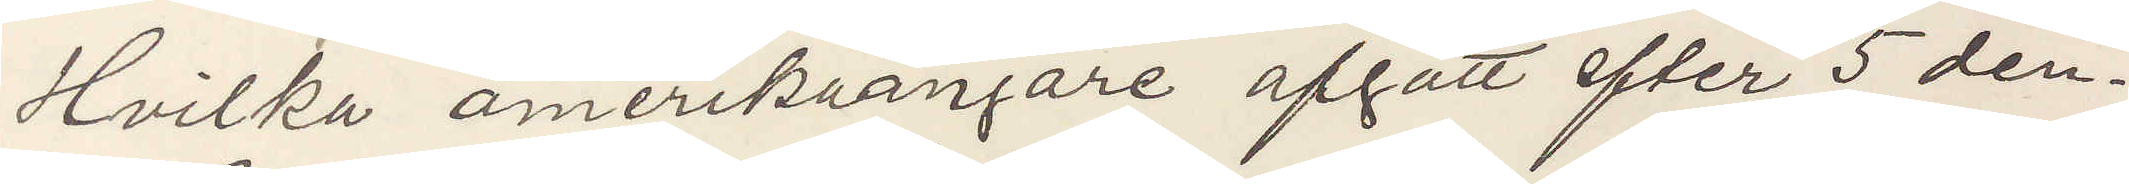Hvilka amerikaångare afgått efter 5 den¬
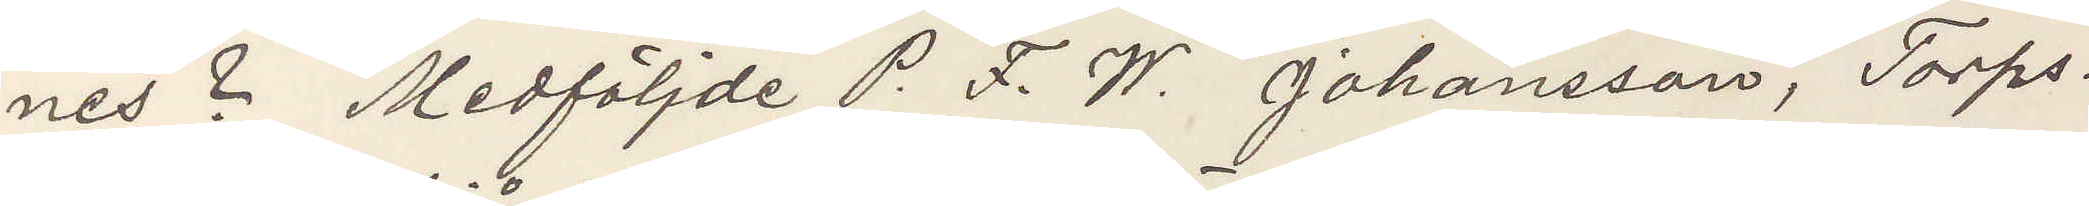nes? Medföljde P. F. W. Johansson, Torps¬
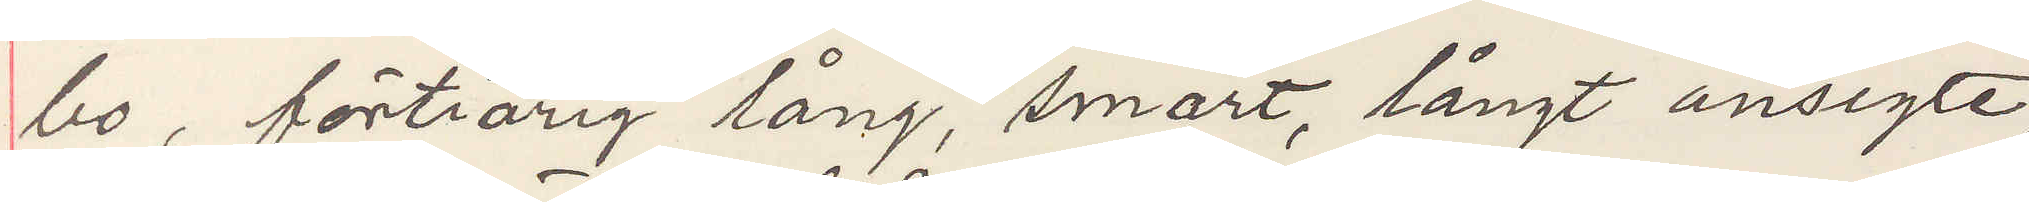bo, förtiårig lång, smärt, långt ansigte,
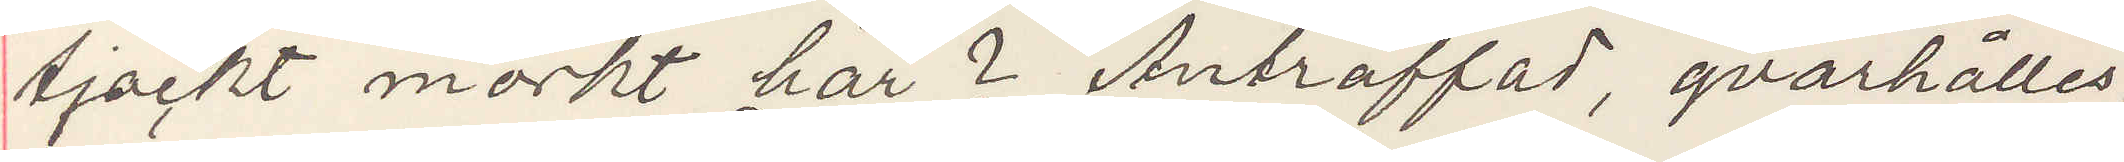tjockt mörkt hår? Anträffad, qvarhålles
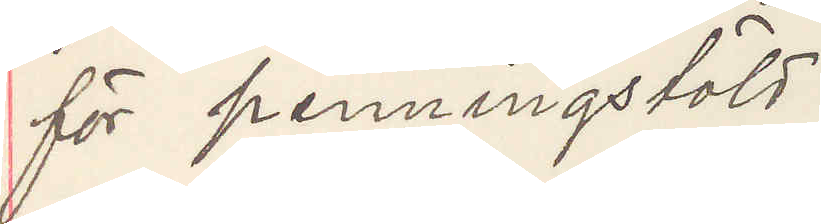för penningstöld.
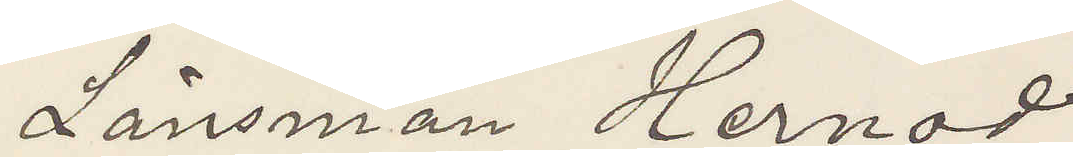Länsman Hernod
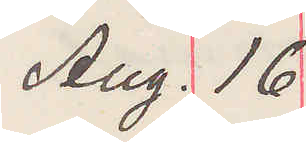Aug. 16
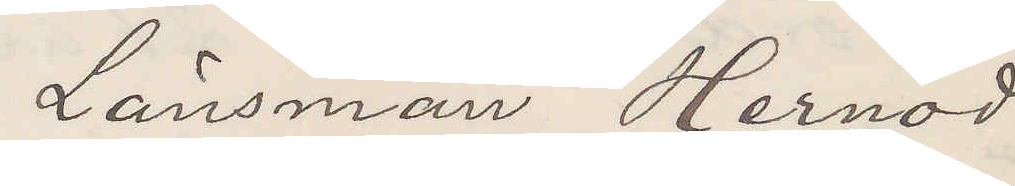Länsman Hernod
